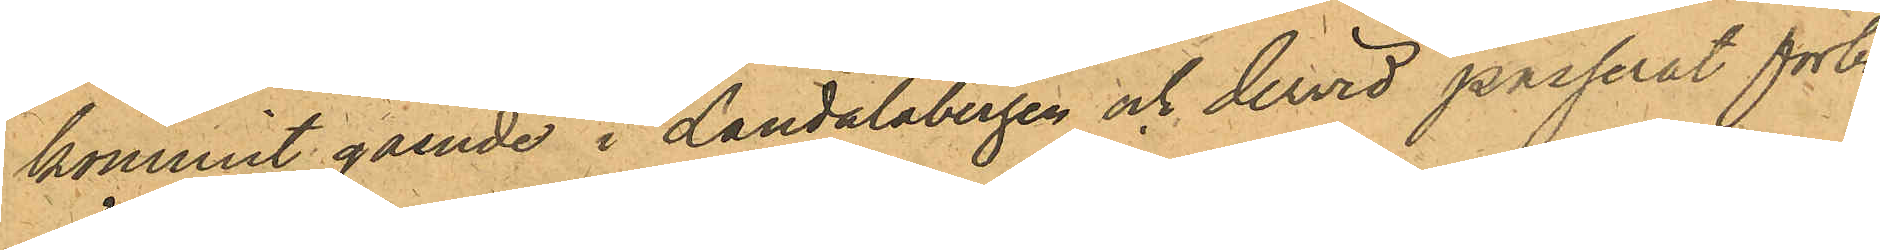kommit gående i Landalabergen och dervid passerat förbi
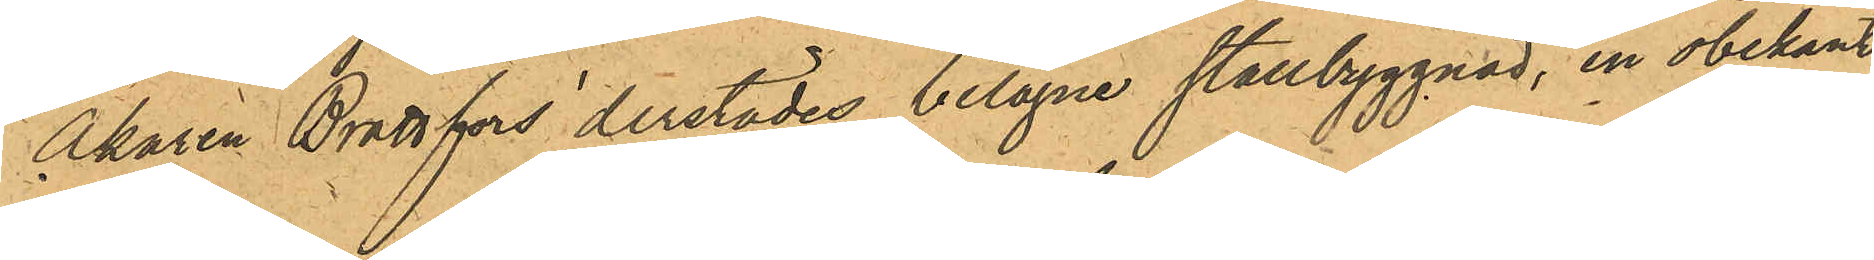Åkaren Brattfors derstädes belägne stallbyggnad, en obekant
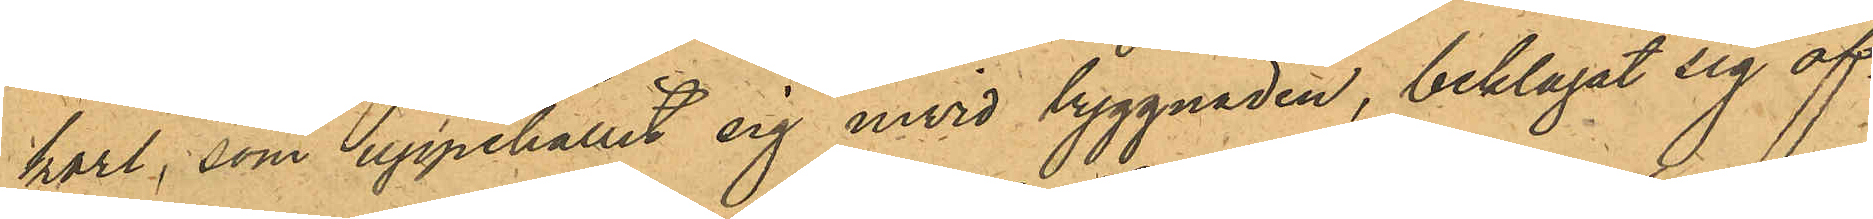karl, som uppehållit sig invid byggnaden, beklagat sig öf¬
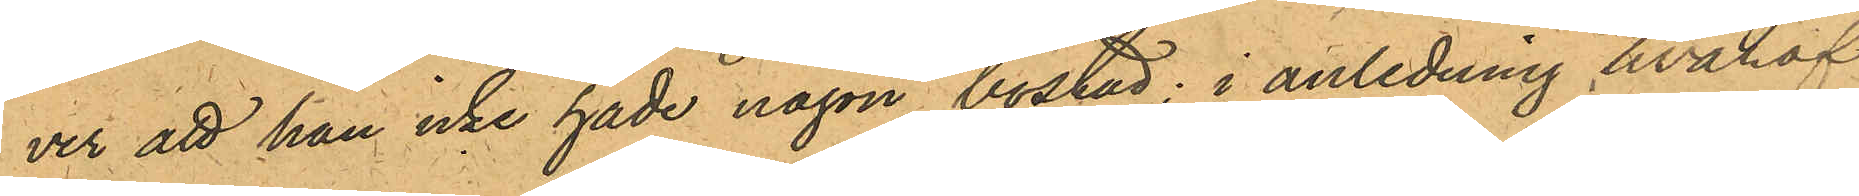ver att han icke hade någon bostad; i anledning hvaraf
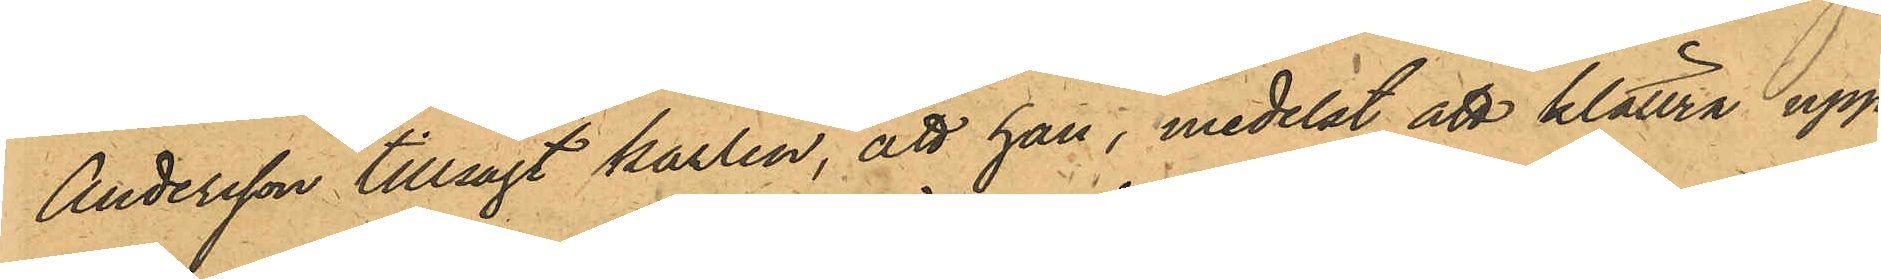Andersson tillsagt karlen, att han, medelst att klättra upp¬
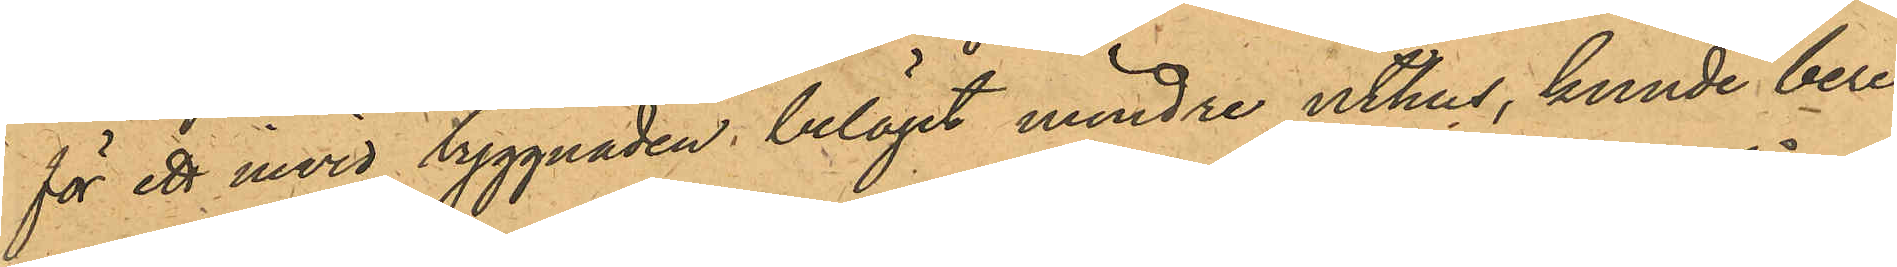för ett invid byggnaden beläget mindre uthus, kunde bere¬
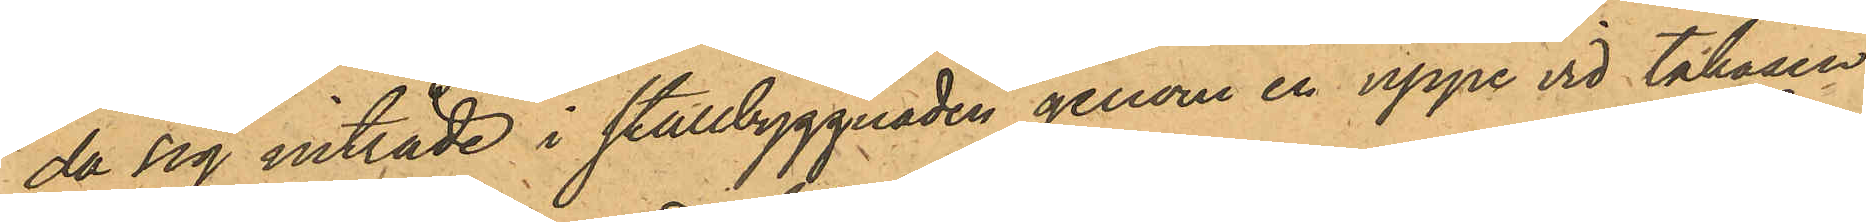da sig inträde i stallbyggnaden genom en uppe vid takåsen
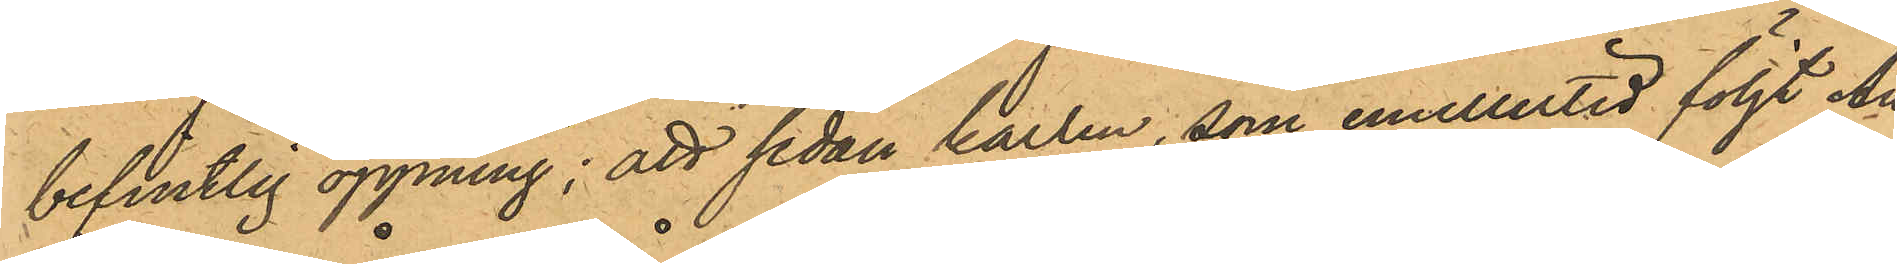befintlig öppning; att sedan karlen, som emellertid följt An¬
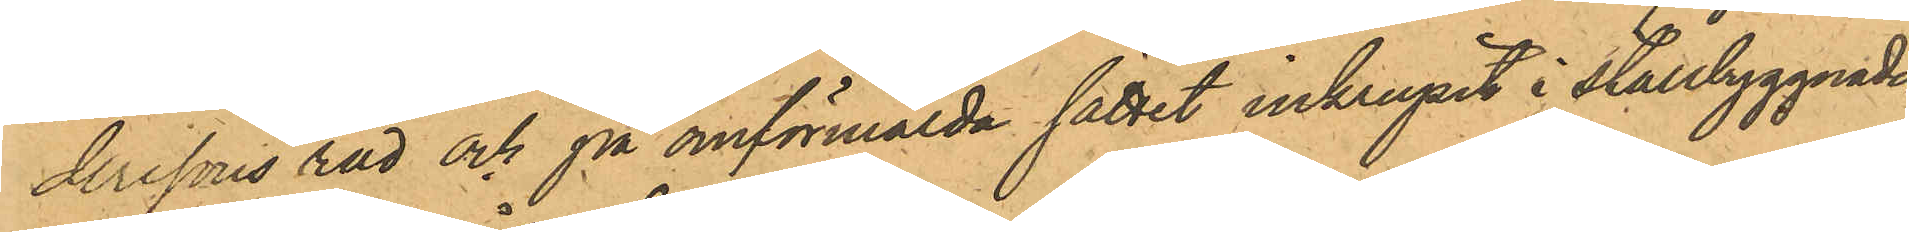derssons råd och på omförmälda sättet inkrupit i Stallbyggnaden
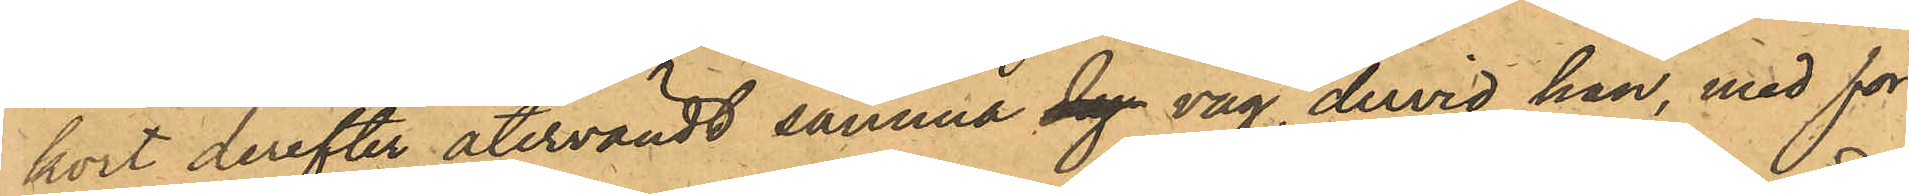kort derefter återvändt samma dag väg dervid han, med för¬
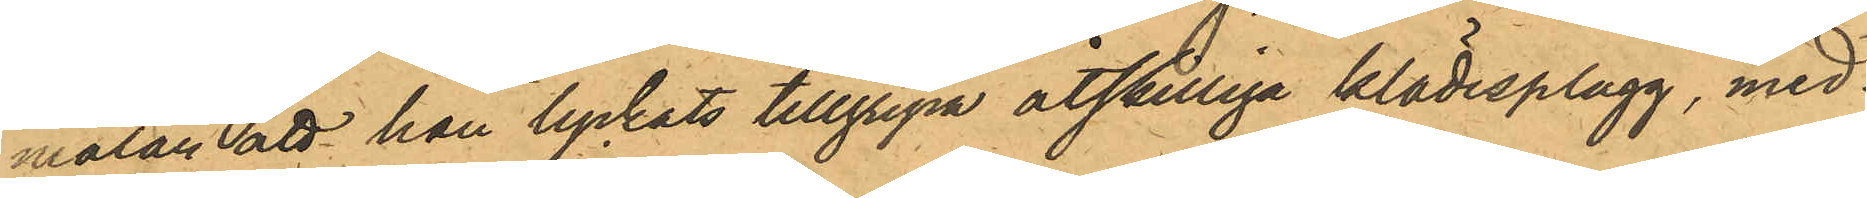mälan att han lyckats tillgripa åtskilliga klädesplagg, med¬
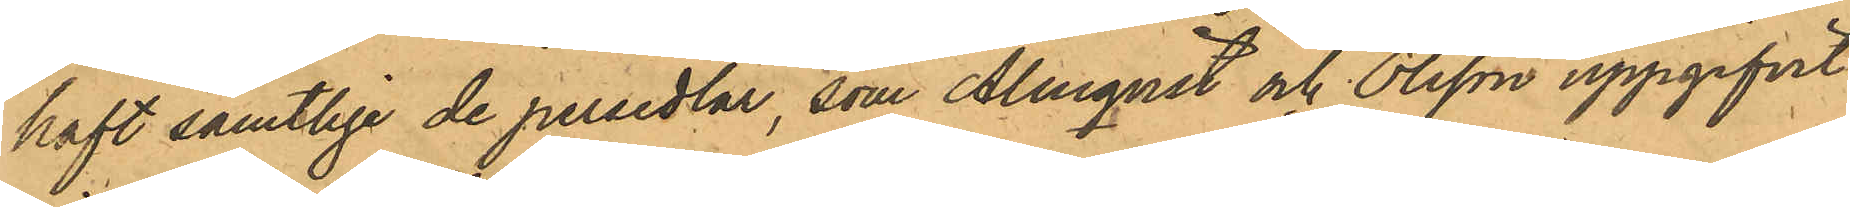haft samtlige de persedlar, som Almqvist och Olsson uppgifvit
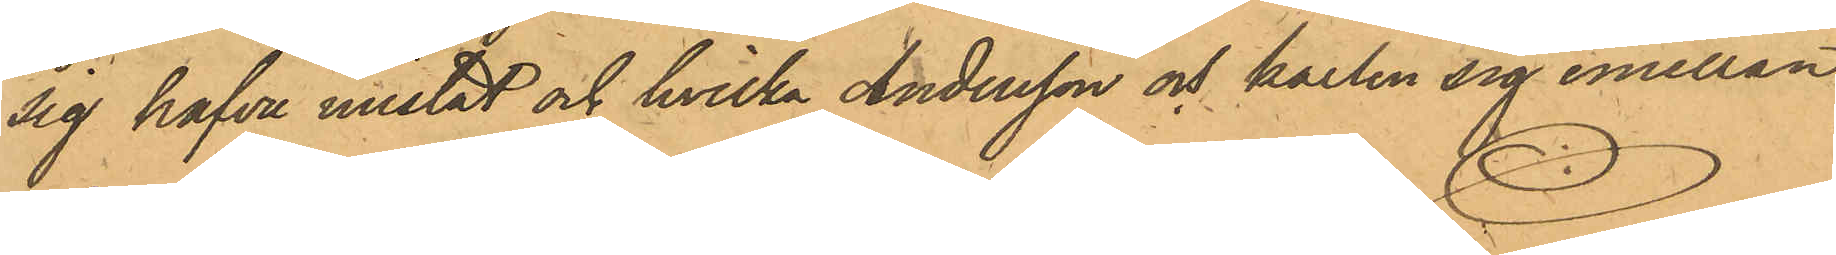sig hafva mistat och hvilka Andersson och karlen sig emellan
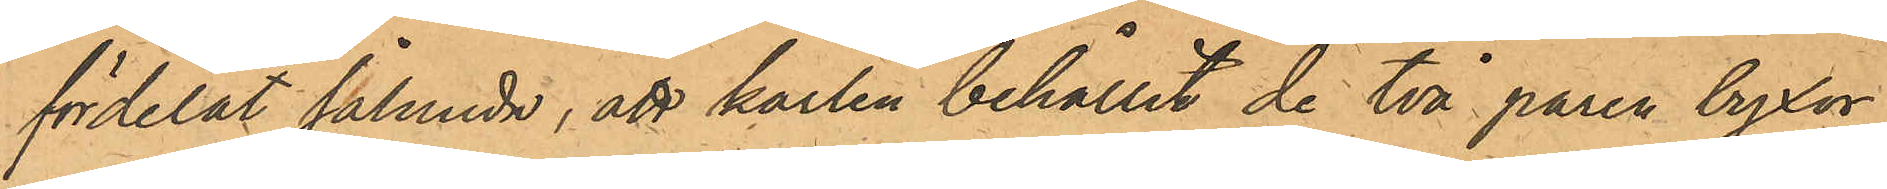fördelat sålunda, att karlen behållit de två paren byxor
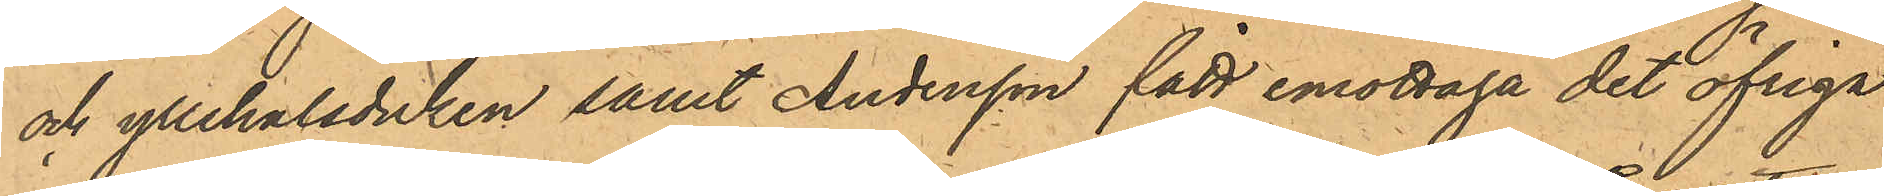och yllehalsduken samt Andersson fått emottaga det öfriga
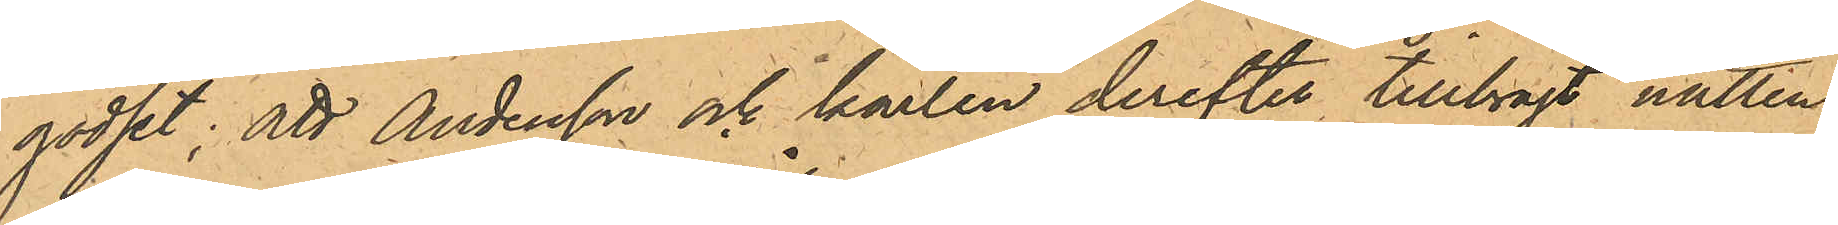godset; att Andersson och karlen derefter tillbragt natten
